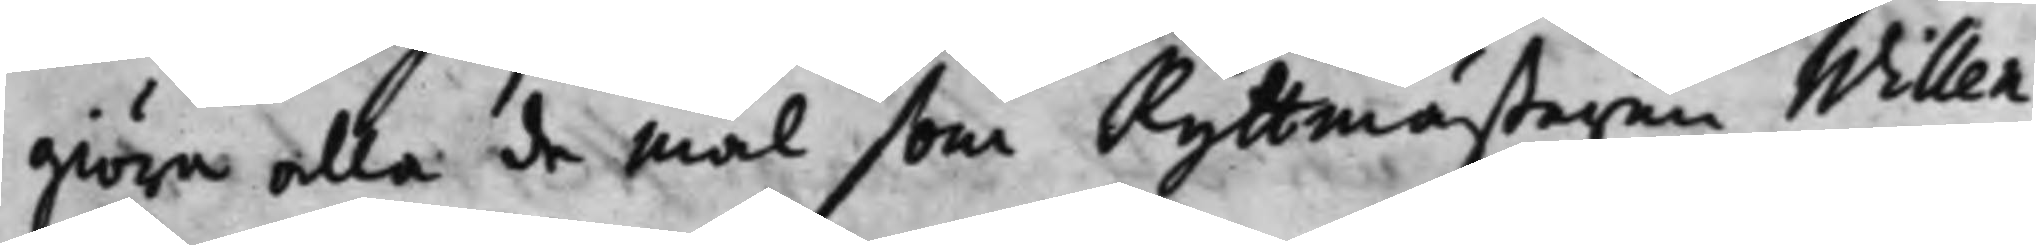giöra alla de Mål som Ryttmästaren Willen¬
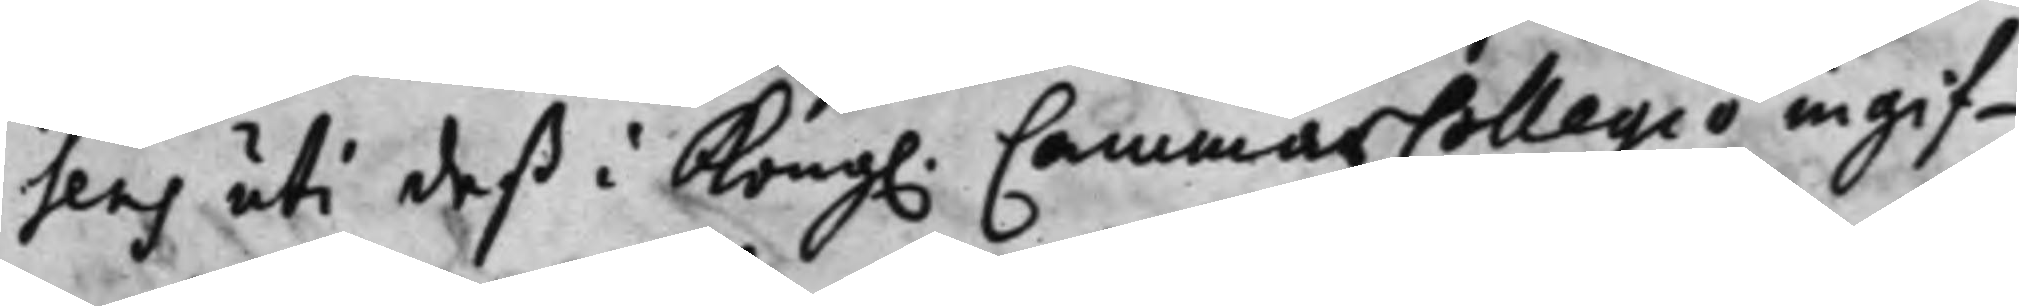sens uti deß i Kong. CammarCollegio ingif¬
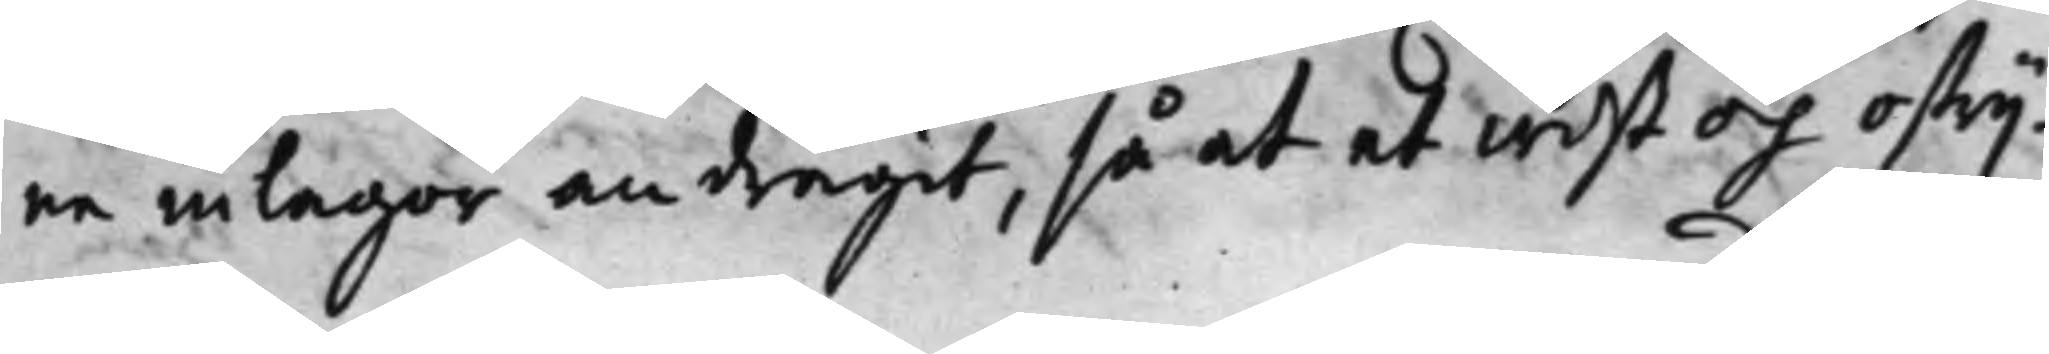ne inlagor andragit, så at et wist och ostrij¬
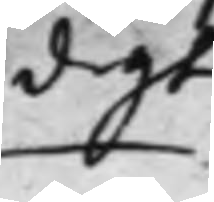digt
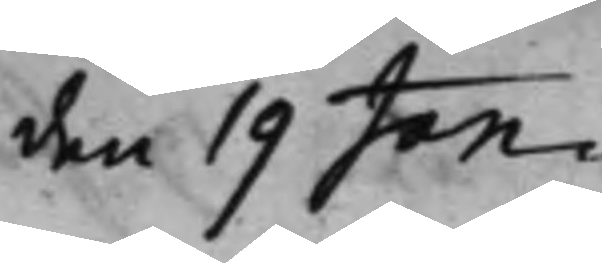den 19 Jan.
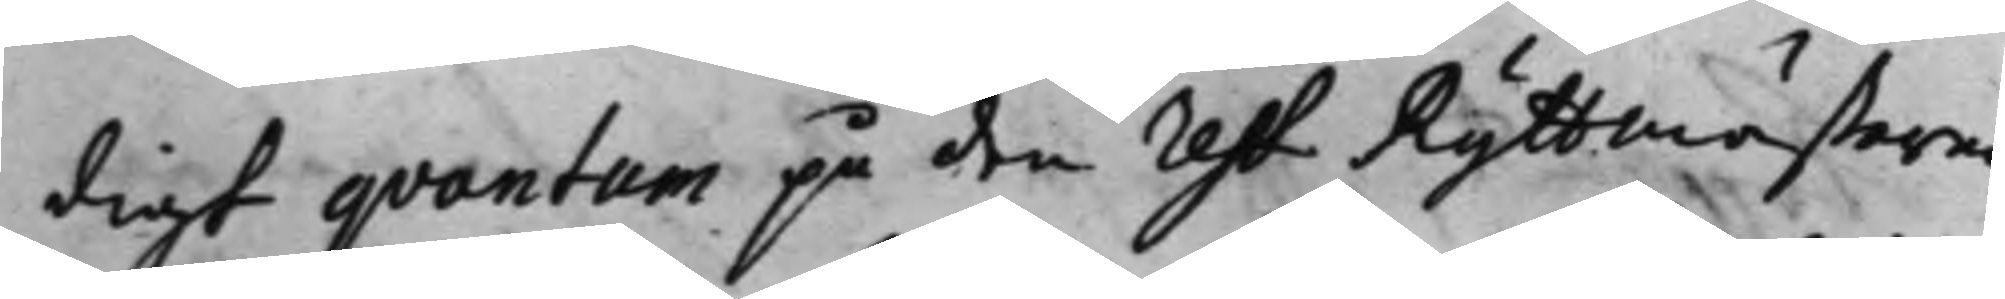digt qvantum på den rest Ryttmästaren
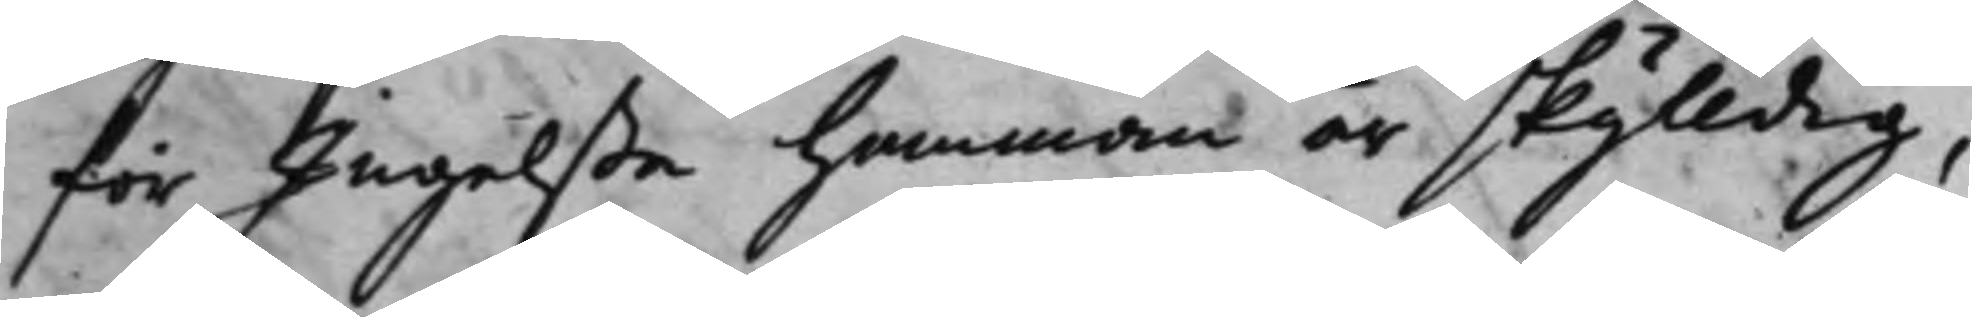för Ingelsta Hemman är skylldig,
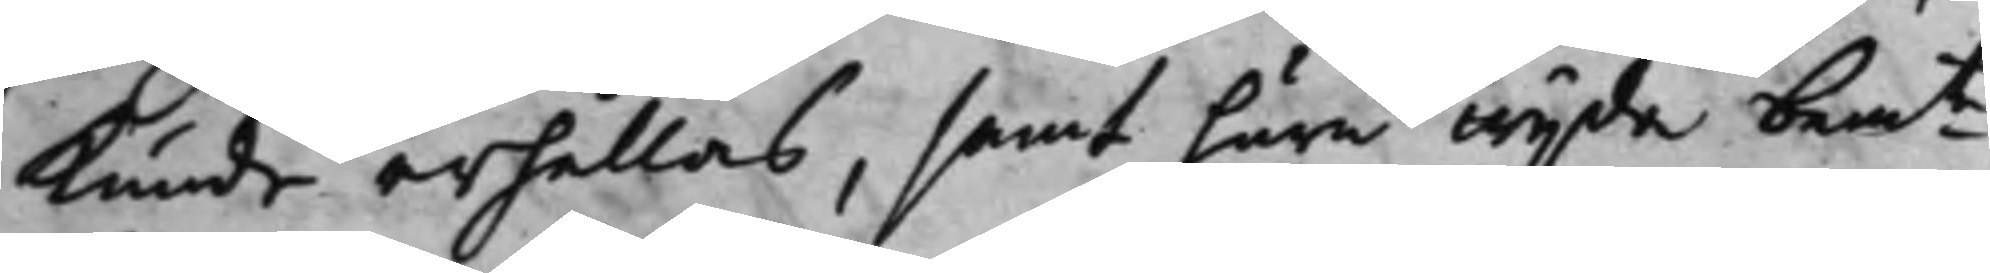Kunde erhållas, samt huru wijda bem.te 
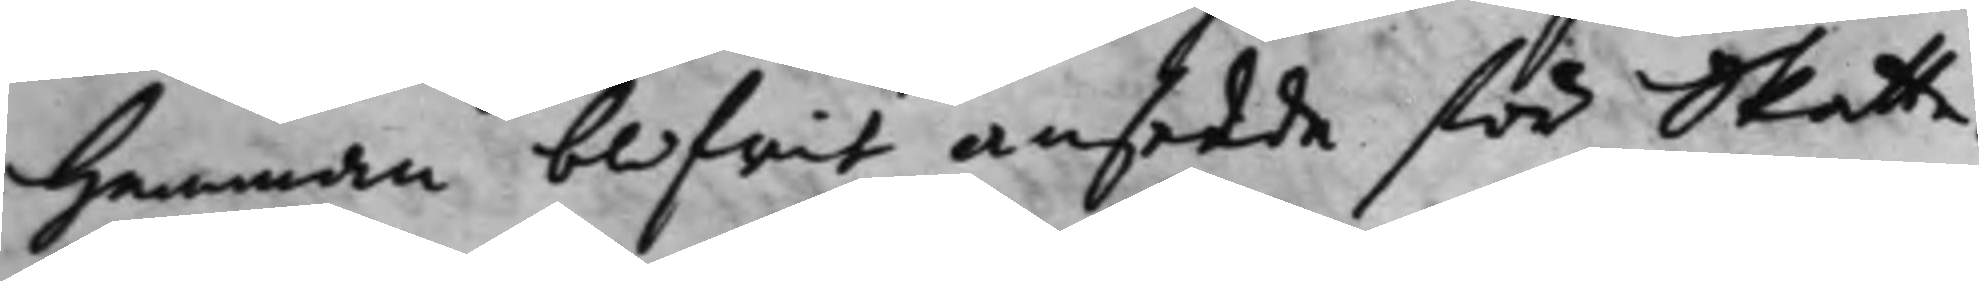Hemman blifwit ansedde för Skatte¬
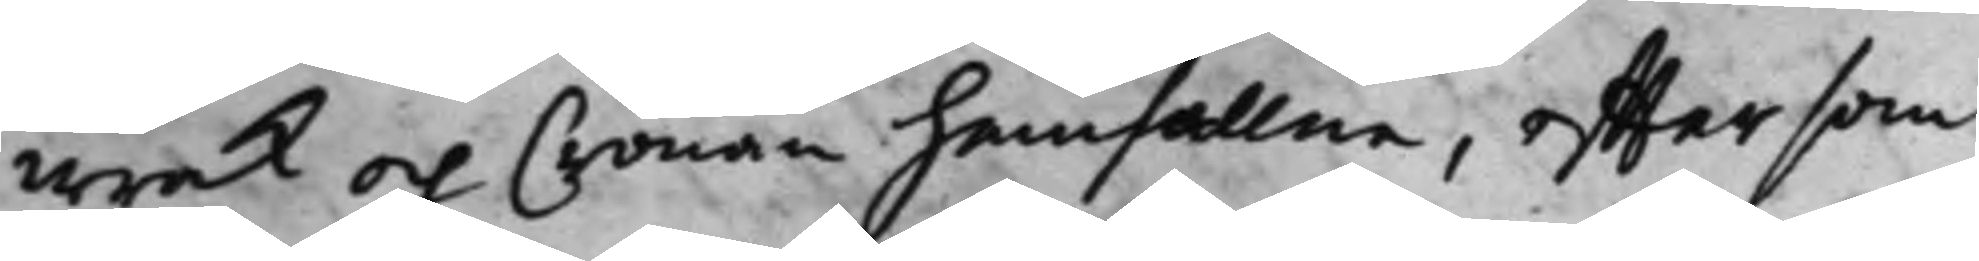wrak och Cronan hemfallne, efftersom
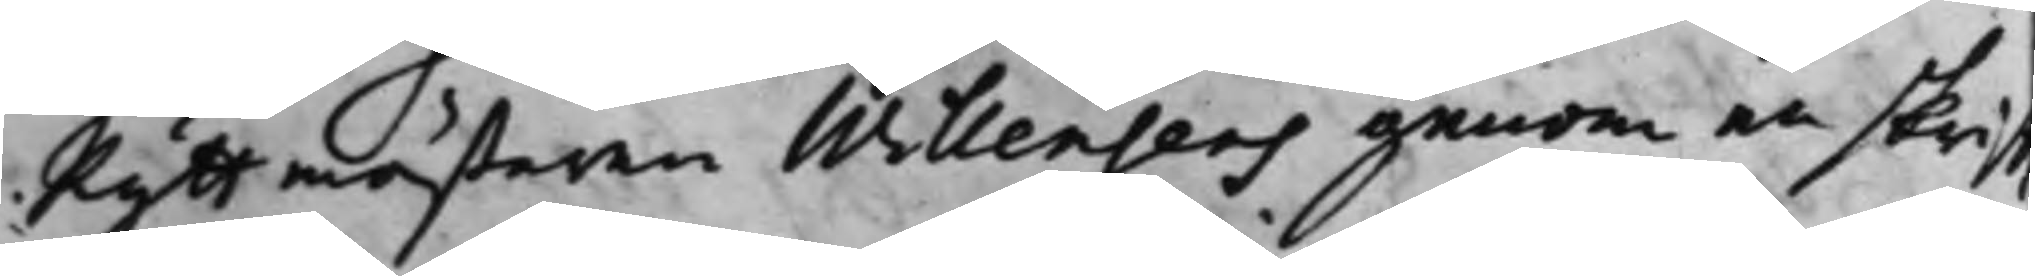Ryttmästaren Willensens genom en skrifft
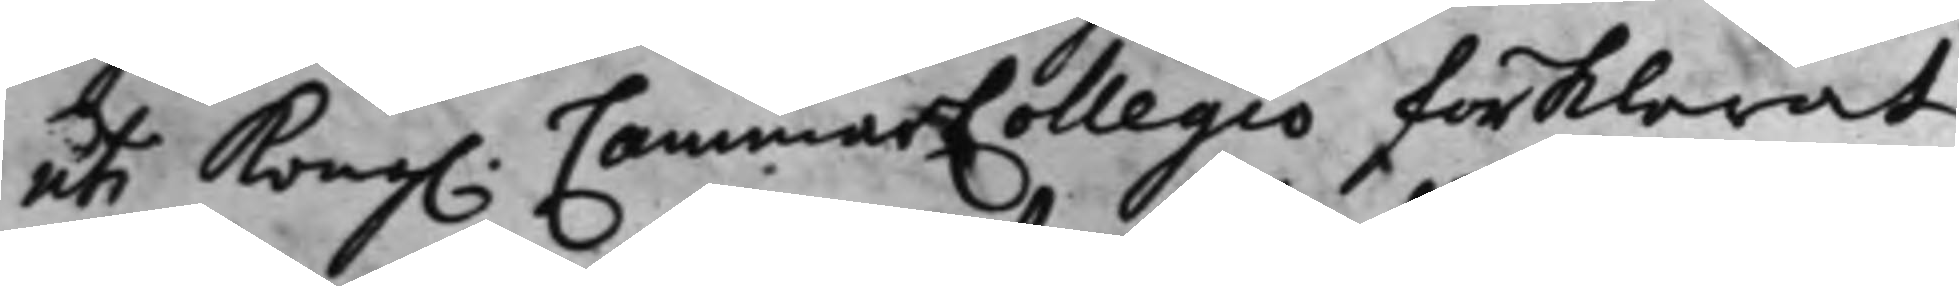uti Kong. CammarCollegio förklarat
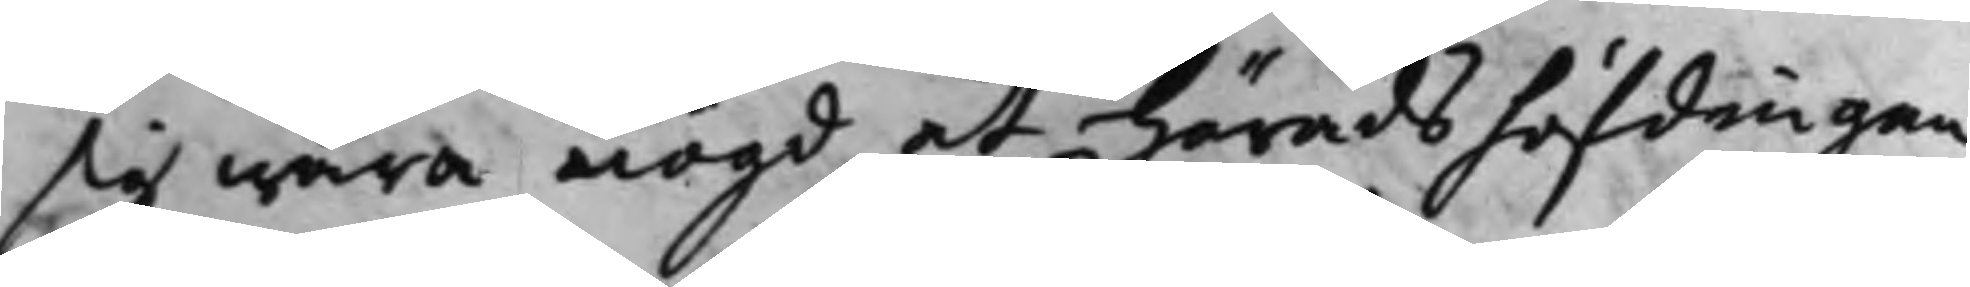sig wara nögd, at Häradshöfdingen
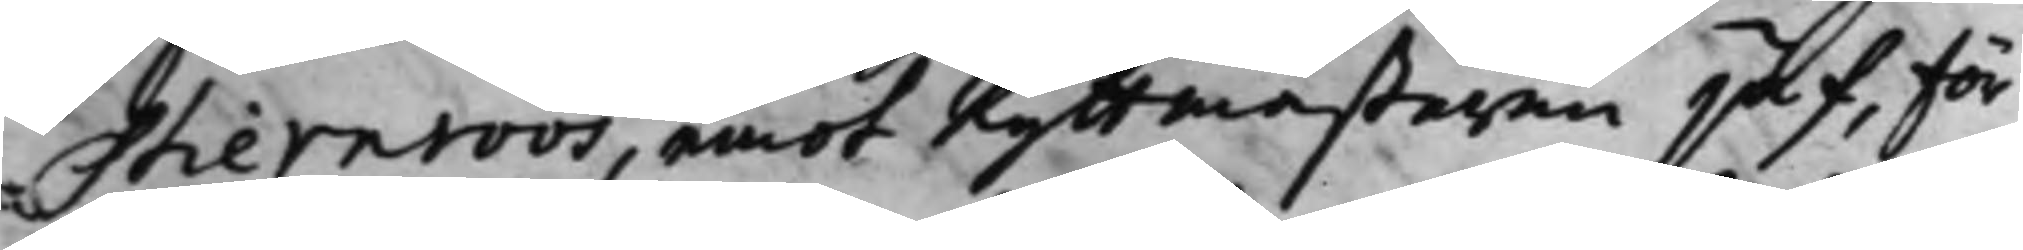Stiernroos, emot Ryttmästaren jäf, för
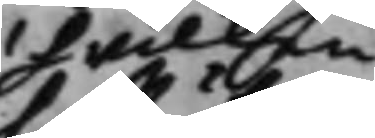hwilken
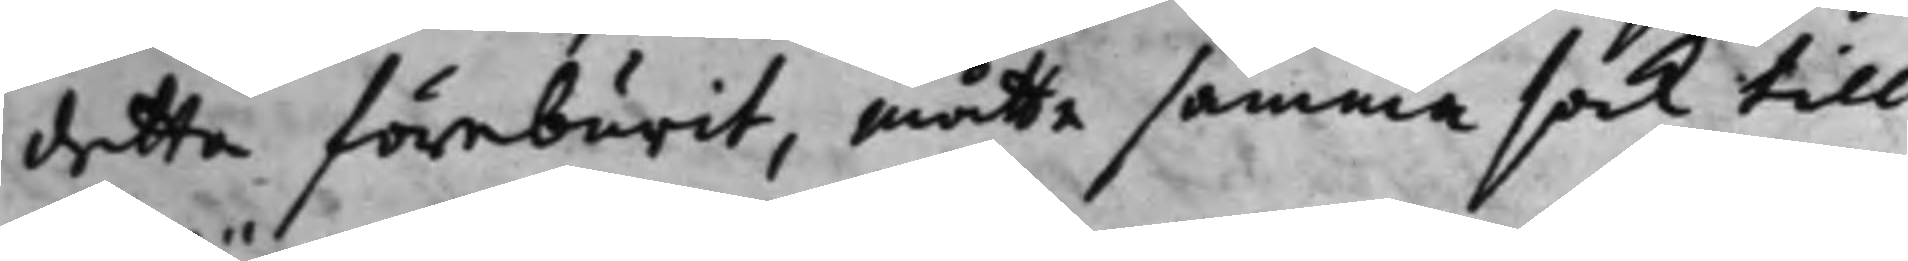detta föreburit, måtte samma sak till
